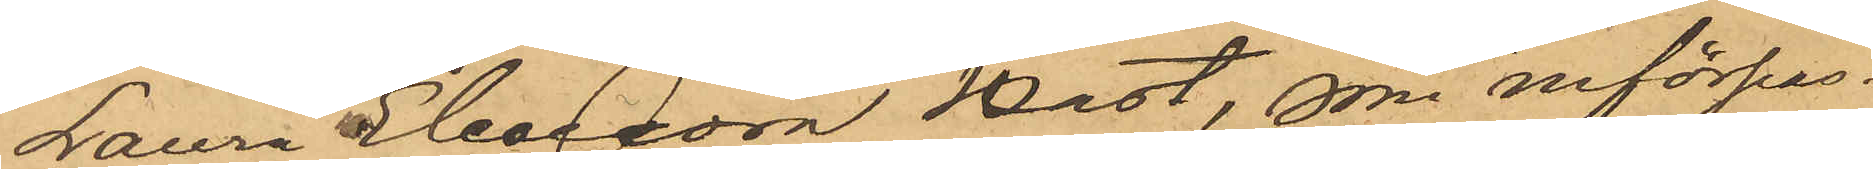Laura Eleonora Hast, som införpas¬
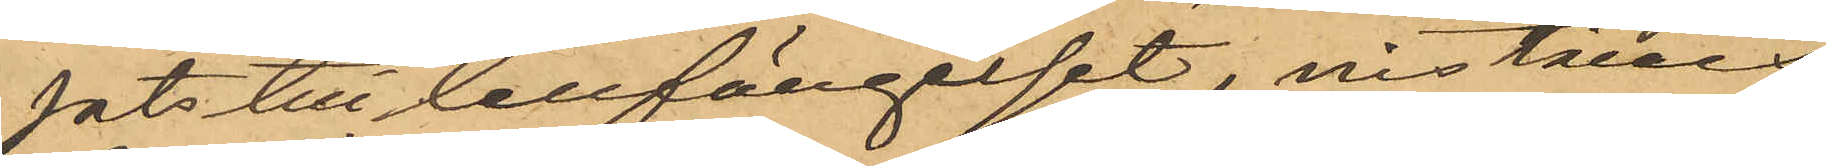fats till Cellfängelset, inställes
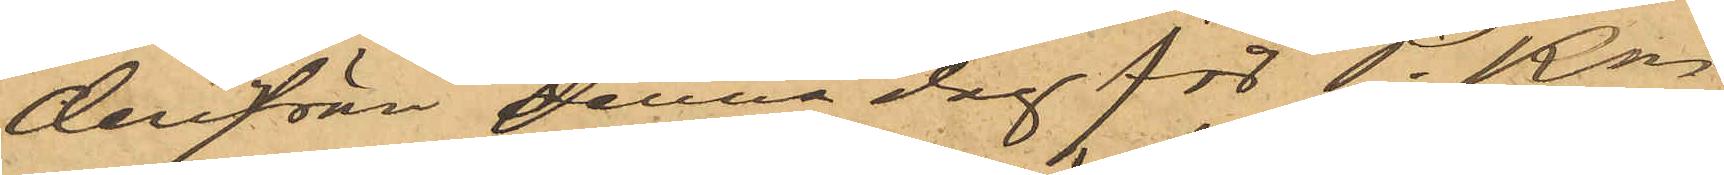derifrån denna dag för P. Kn
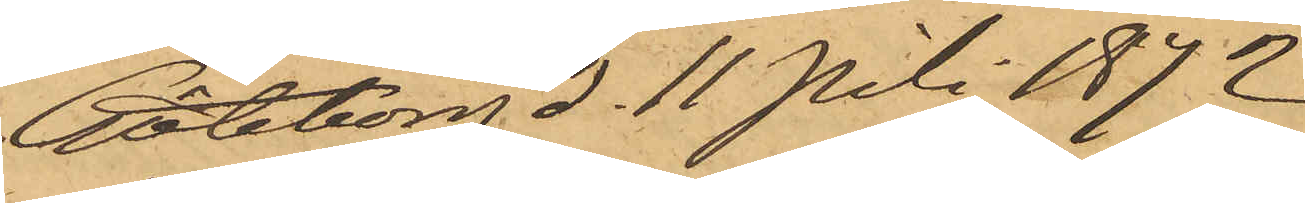Göteborg d. 11 Juli 1872
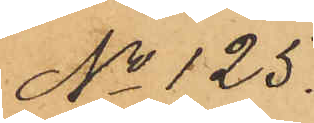No 125.
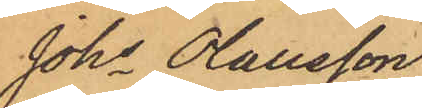Johs Olausson
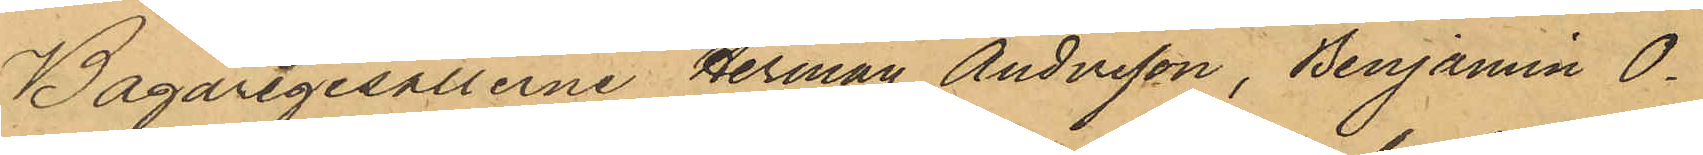Bagarigesällerna Herman Andersson, Benjamin O¬
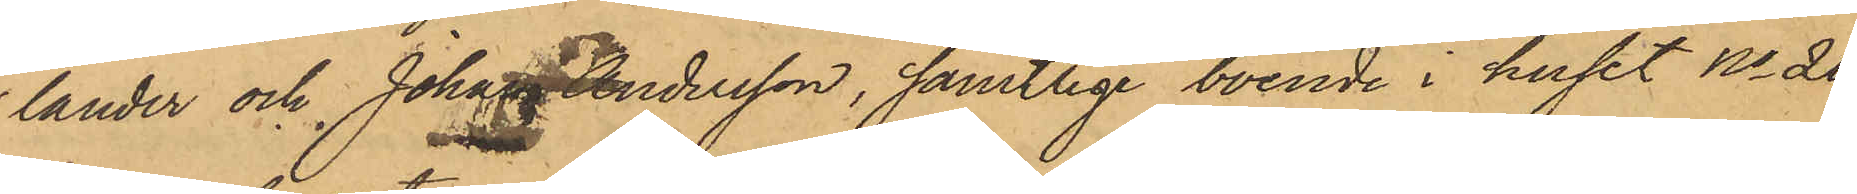lander och Johan Andersson, samtlige boende i huset No 20
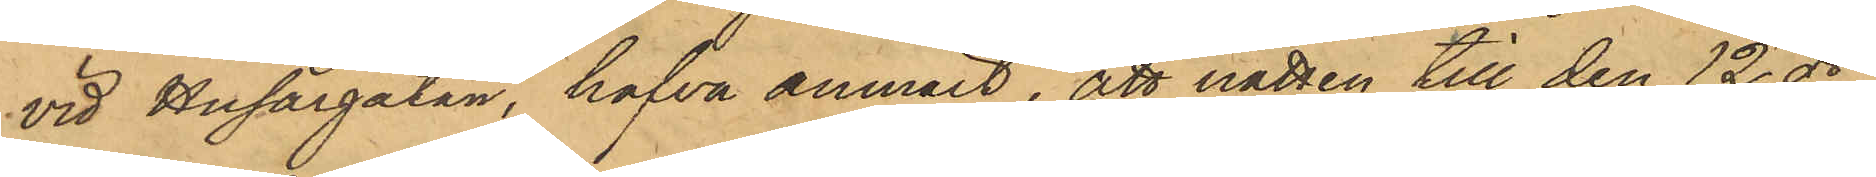vid Husargatan, hafva anmält, att natten till den 12 ds,
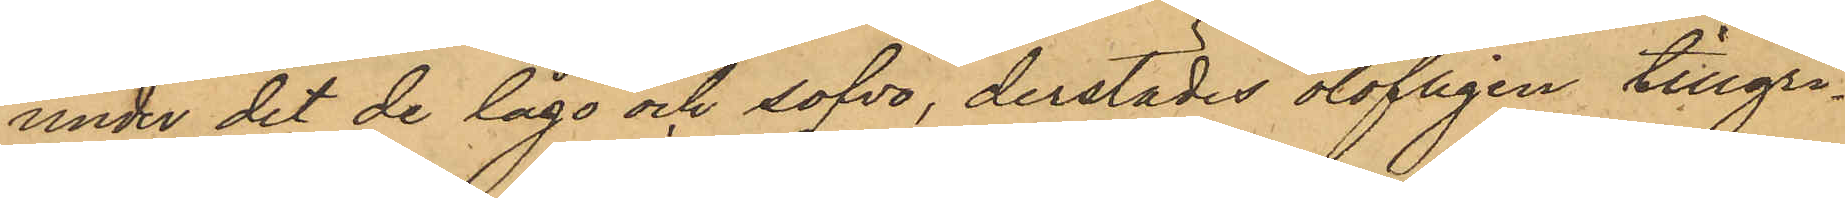under det de lågo och sofvo, derstädes olofligen tillgri¬
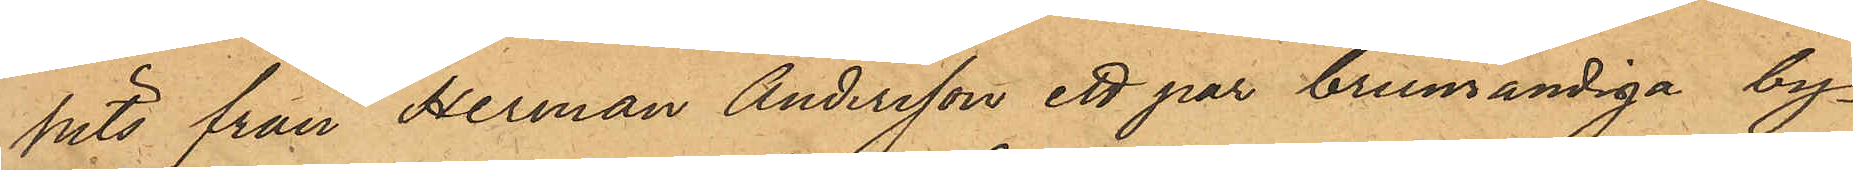pits från Herman Andersson ett par brunrandiga by¬
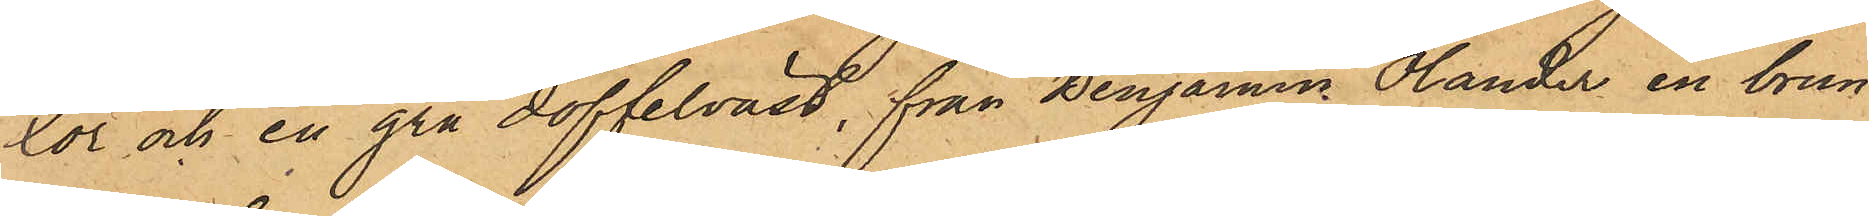xor och en grå doffelväst, från Benjamn Olander en brun
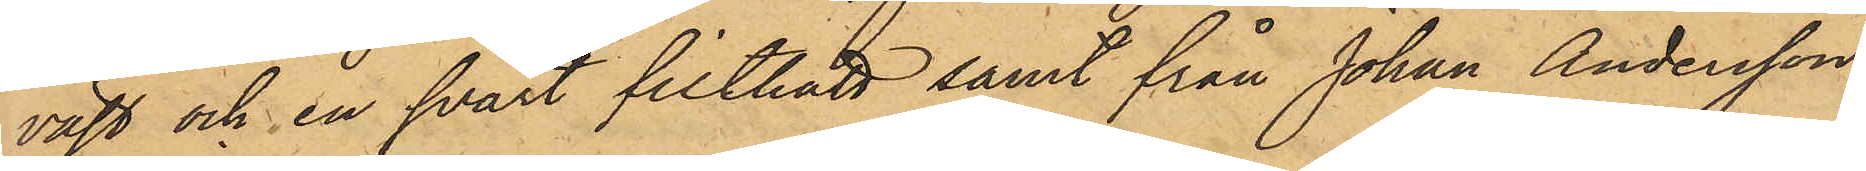väst och en svart filthatt samt från Johan Andersson
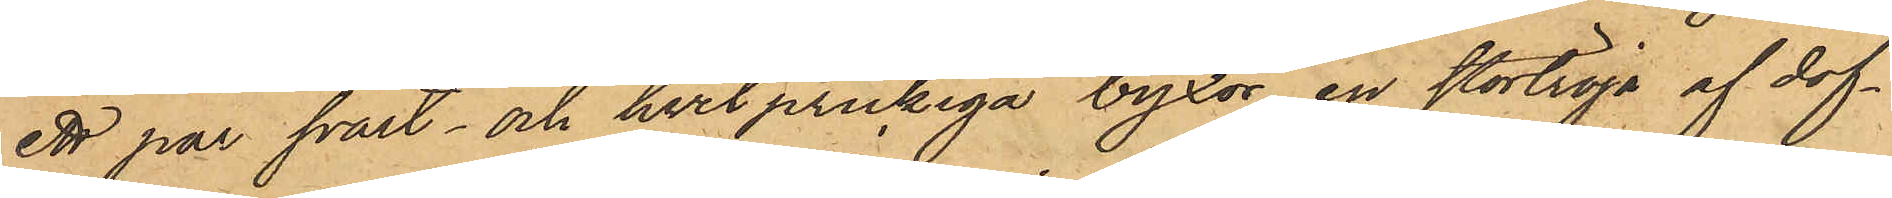ett par svart- och hvit prickiga byxor, en stortröja af dof¬
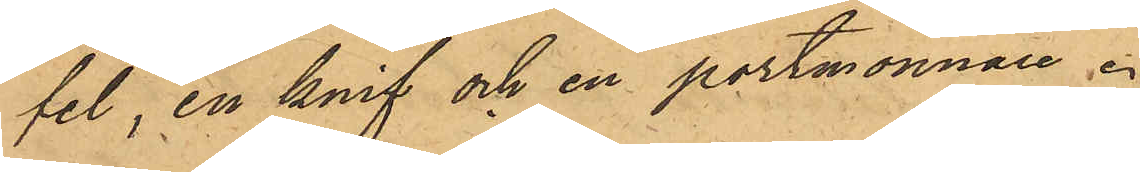fel, en knif och en portmonnaie.
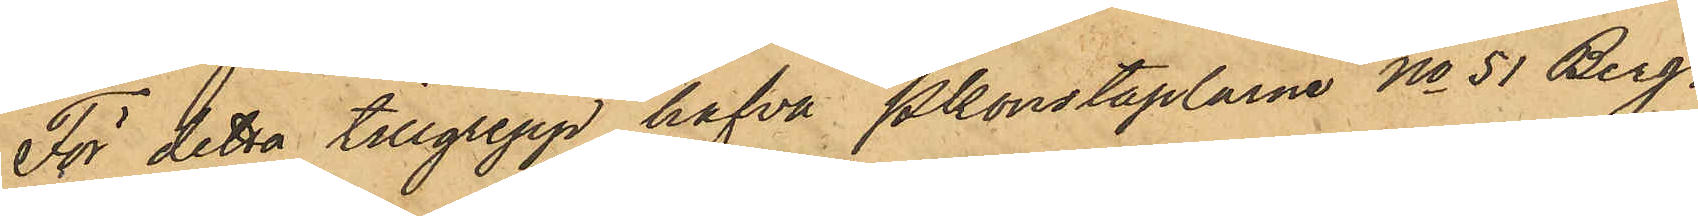För detta tillgrepp hafva Pkonstaplarne No 51 Berg¬
